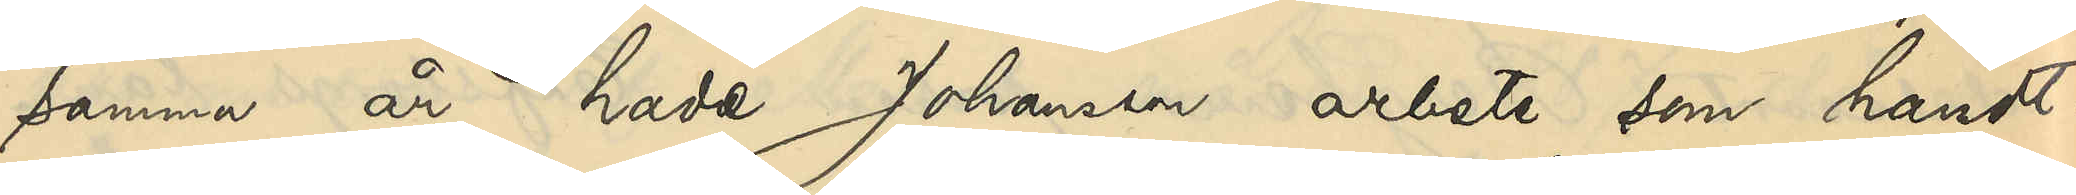samma år hade Johansson arbete som handt¬
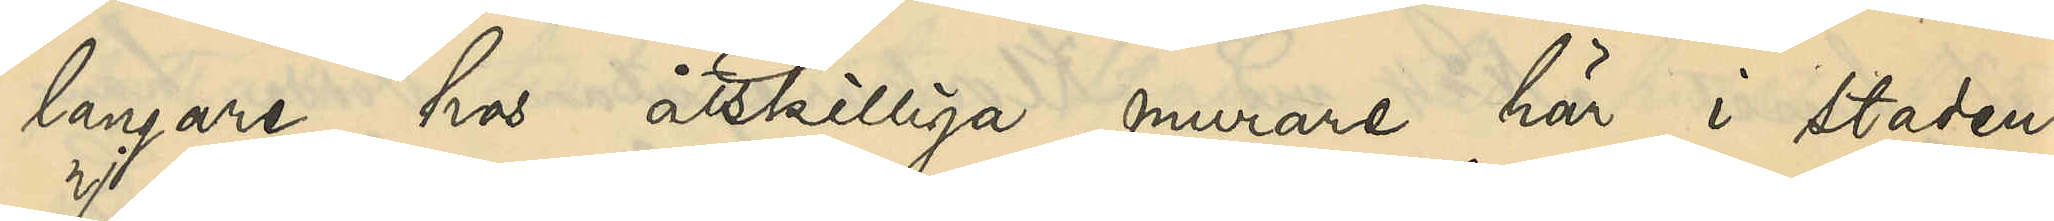langare hos åtskilliga murare här i staden.
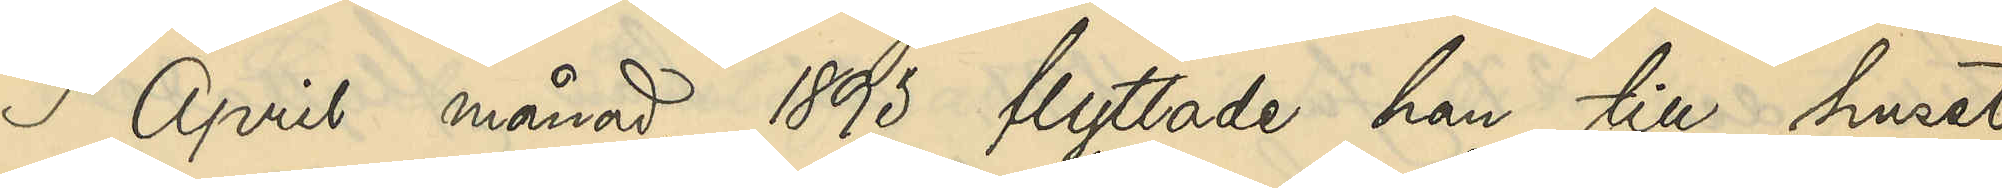I April månad 1893 flyttade han till huset
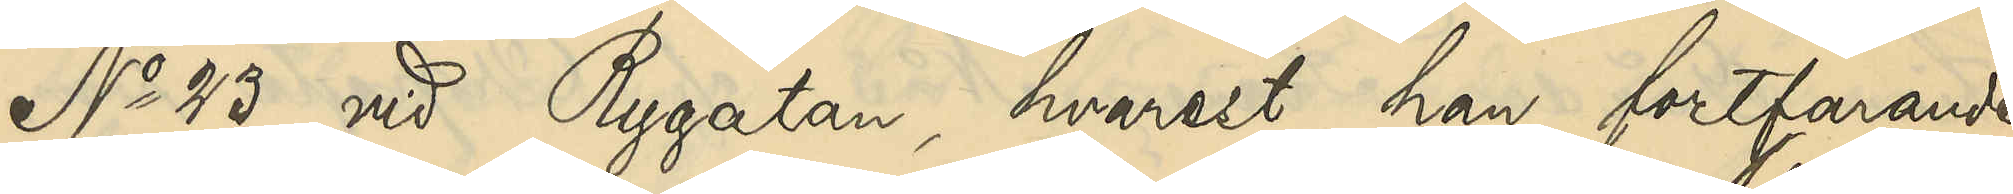No 23 vid Rygatan, hvarest han fortfarande
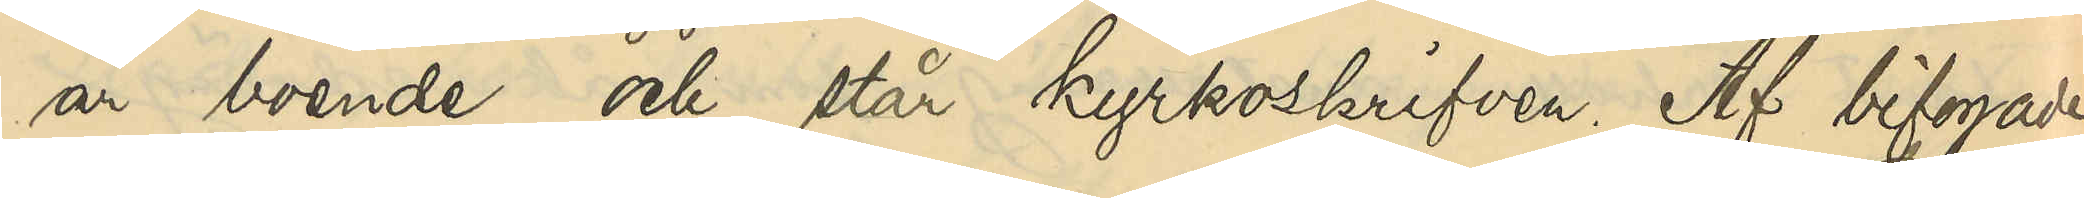är boende och står kyrkoskrifven. Af bifogade
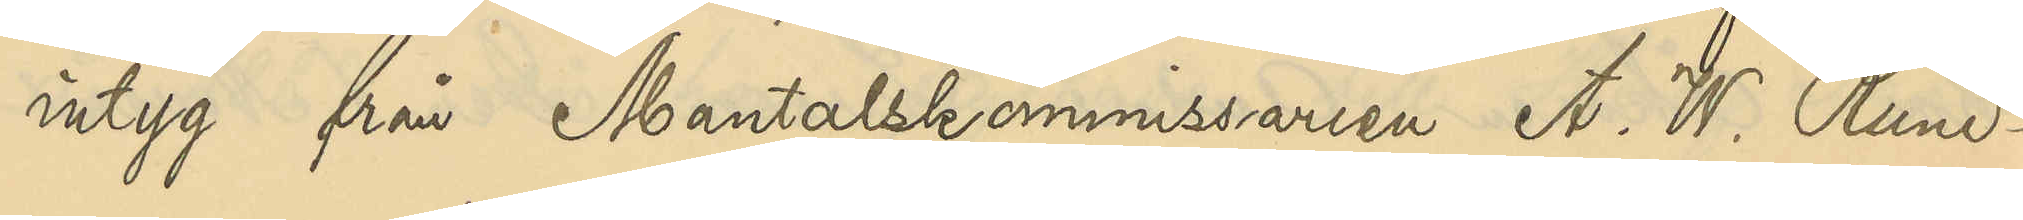intyg från Mantalskommissarien A. W. Rund¬
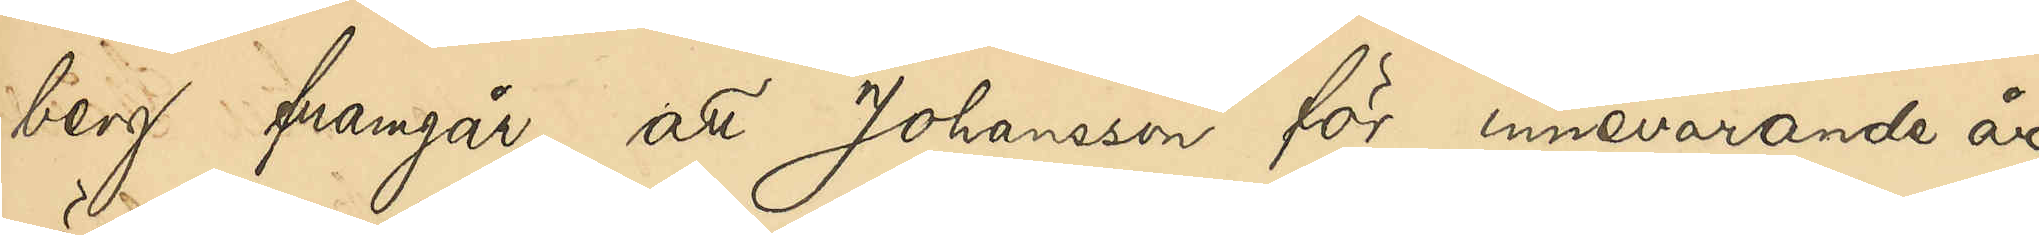berg framgår, att Johansson för innevarande år
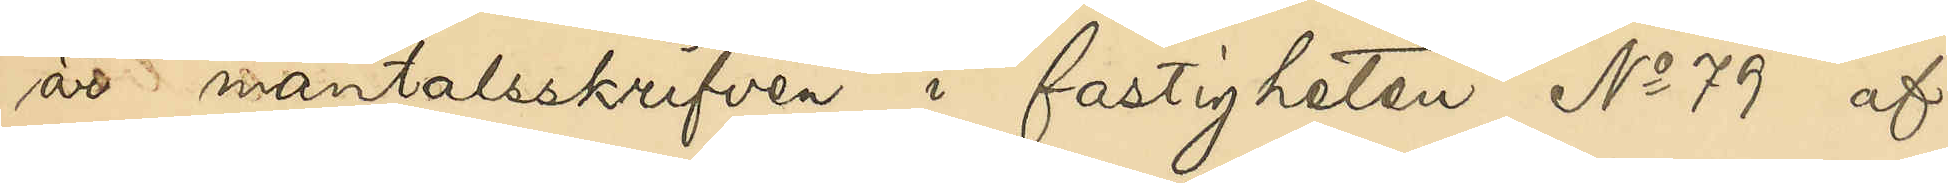är mantalsskrifven i fastigheten No 79 af
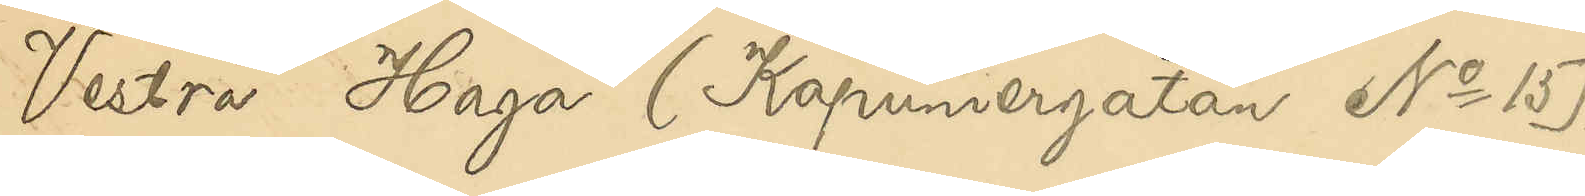Vestra Haga (Kapuniergatan No 15)
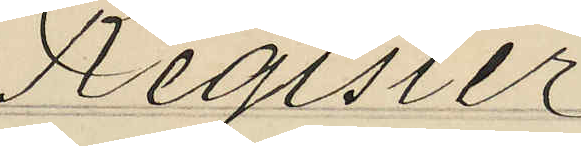Register
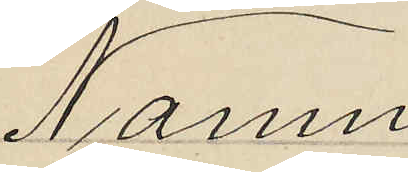Namn
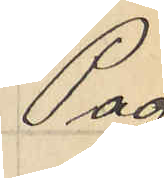Pag.
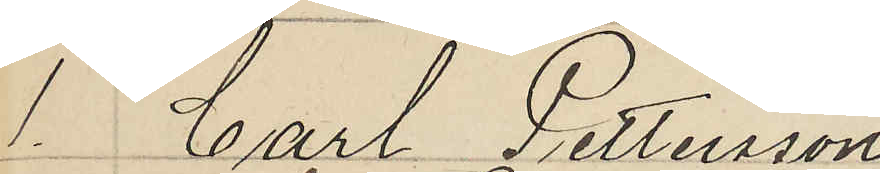1. Carl Pettersson
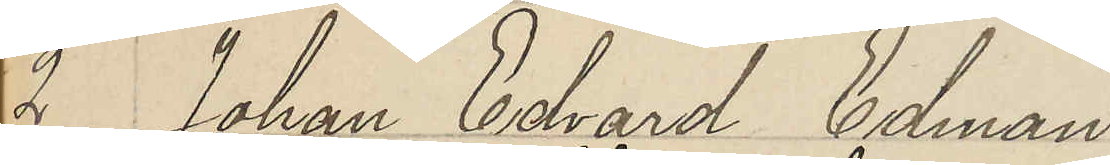2 Johan Edvard Edman
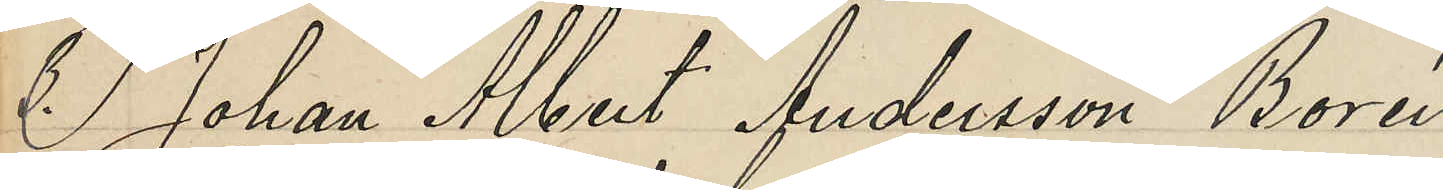3. Johan Albert Andersson Borén
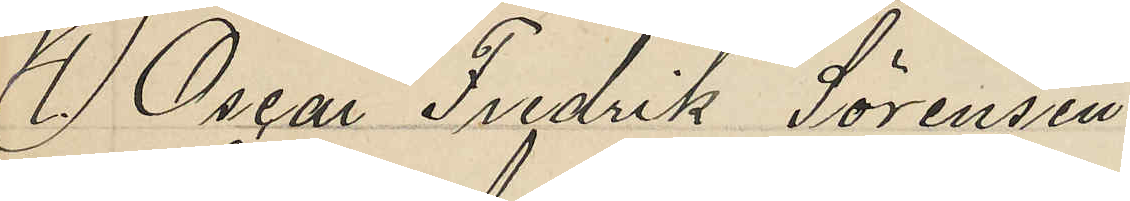4. Oscar Fredrik Sörensen
